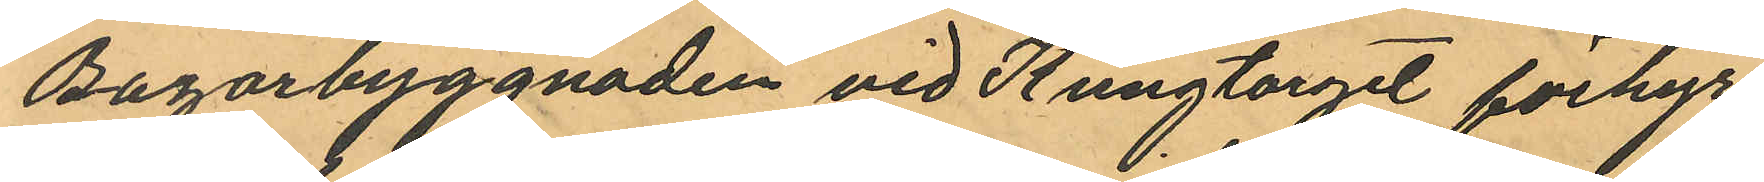Bazarbyggnaden vid Kungtorget förhyr
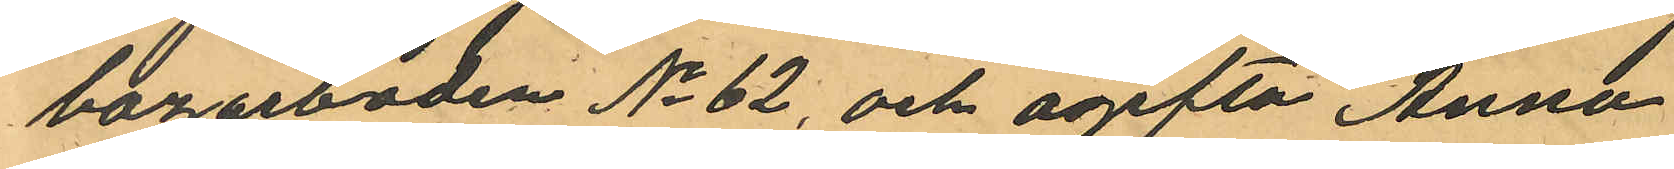bazarboden No 62, och ogifta Anna
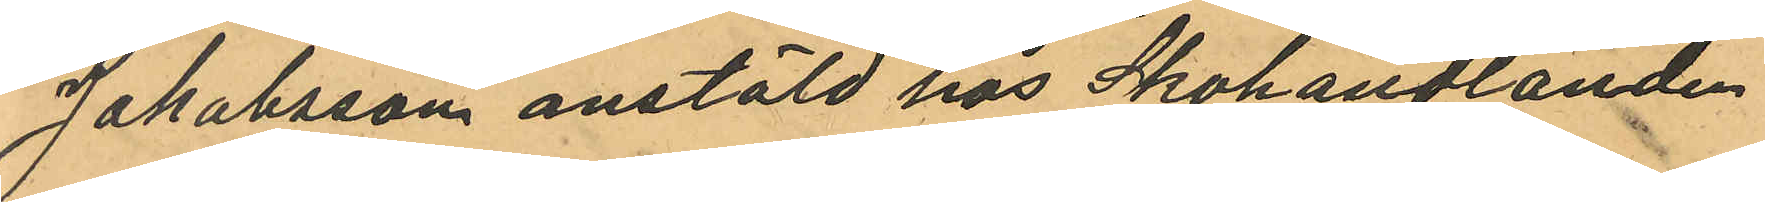Jakobsson anstäld hos Skohandlanden
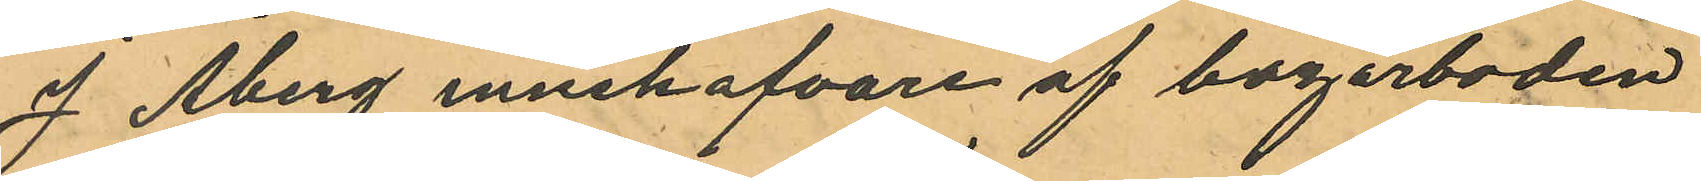J Åberg innehafvare af bagarboden
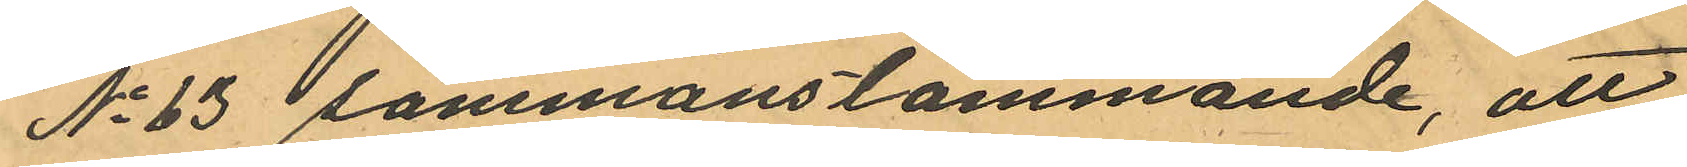No 63 sammanstämmande, att
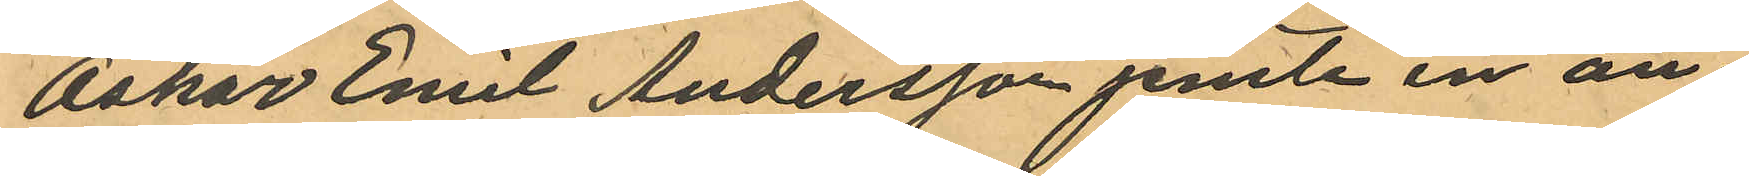Oskar Emil Andersson jemte en an¬
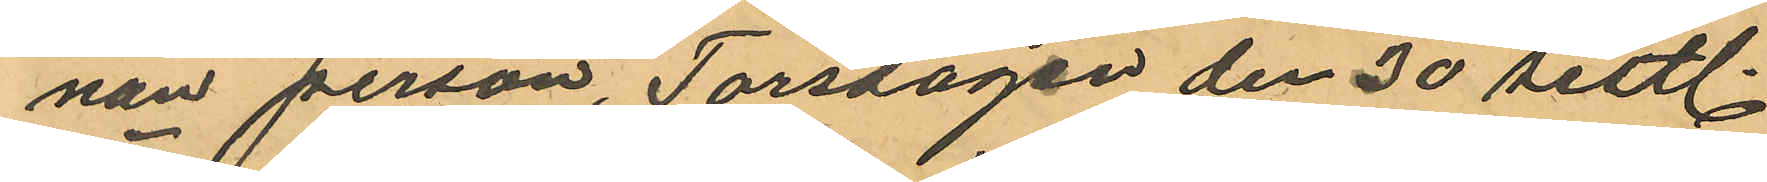nan person, Torsdagen den 30 sistl.
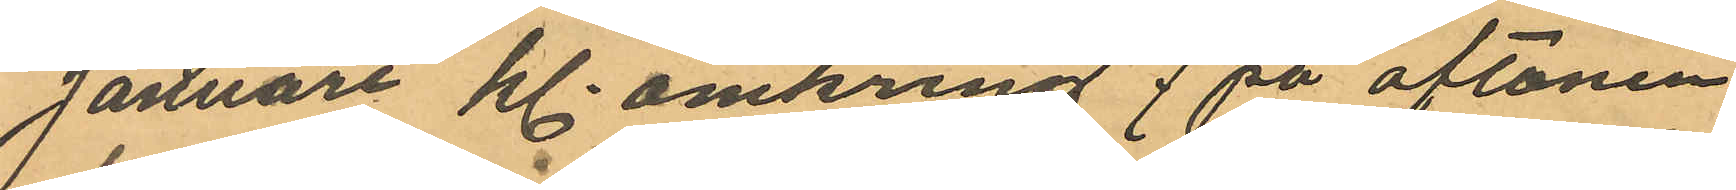Januari kl. omkring 7 på aftonen
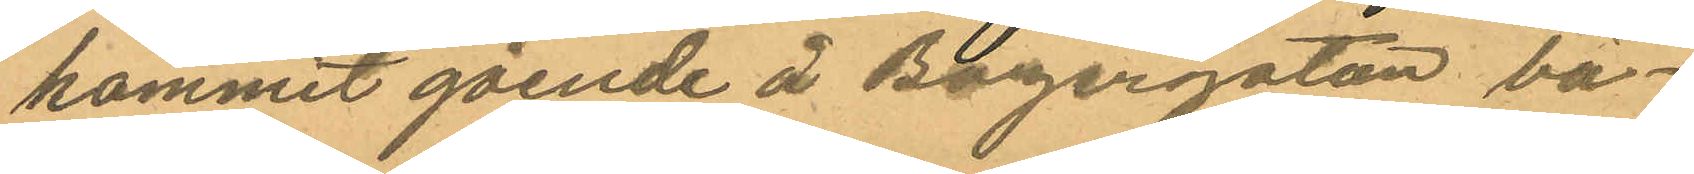kommit gående å Bazargatan bä¬
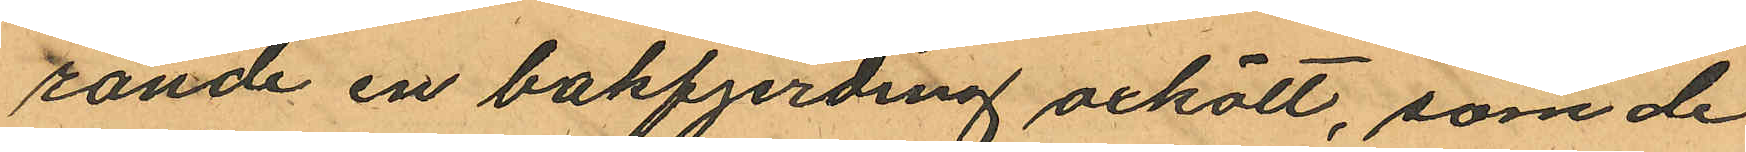rande en bakfjerding öxkött, som de
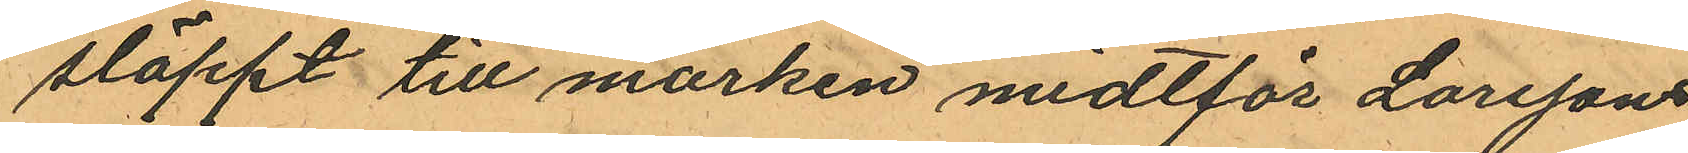släppt till marken midtför Larssons
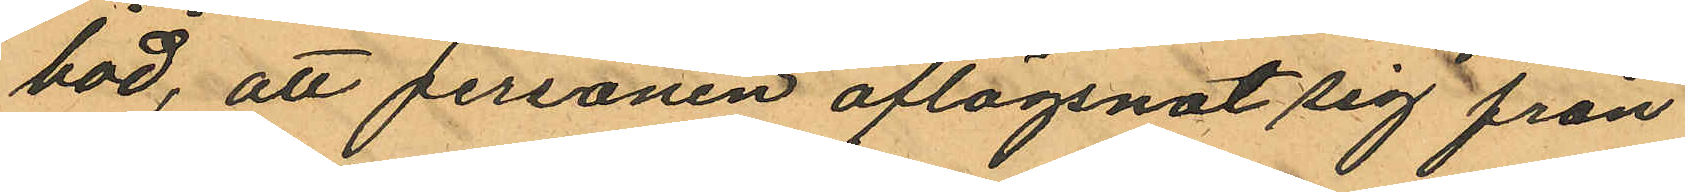bod, att personen aflägsnat sig från
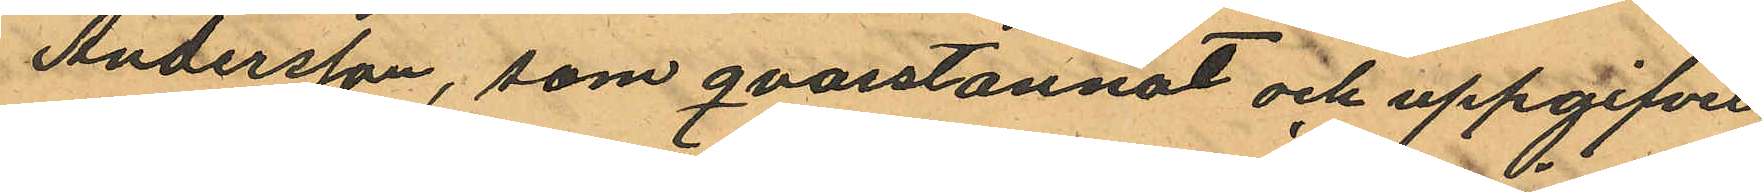Andersson, som qvarstannat och uppgifvit
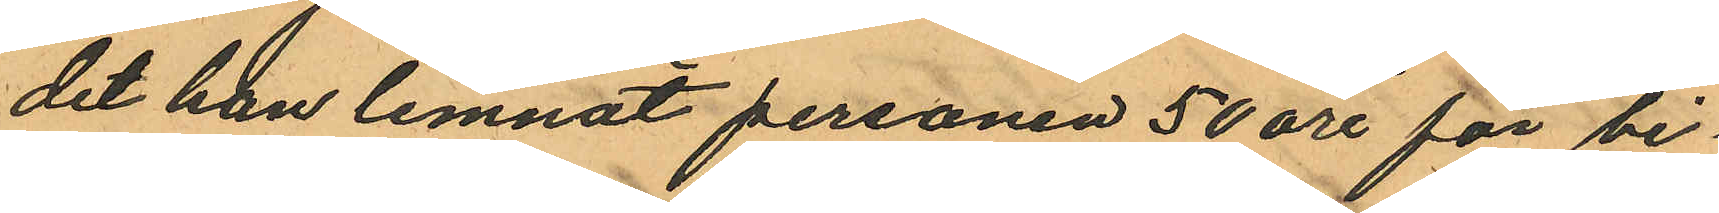det han lemnat personen 50 öre för bi¬
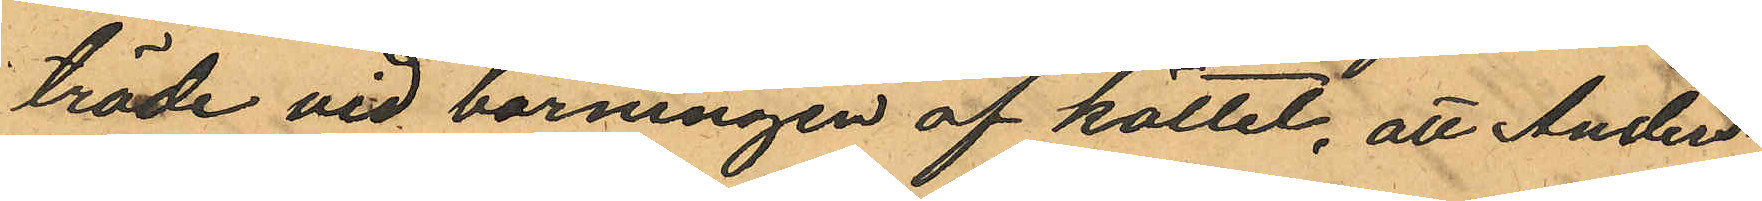träde vid bärningen af köttet, att Anders¬
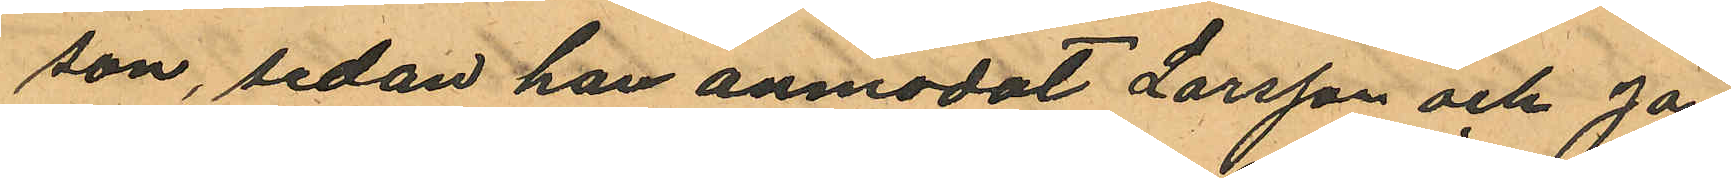son, sedan han anmodat Larsson och Ja¬
